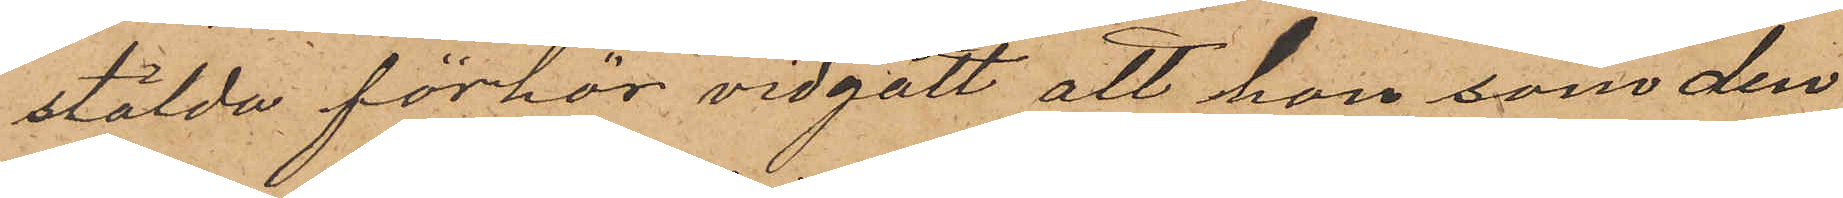stälda förhör vidgått att hon som den
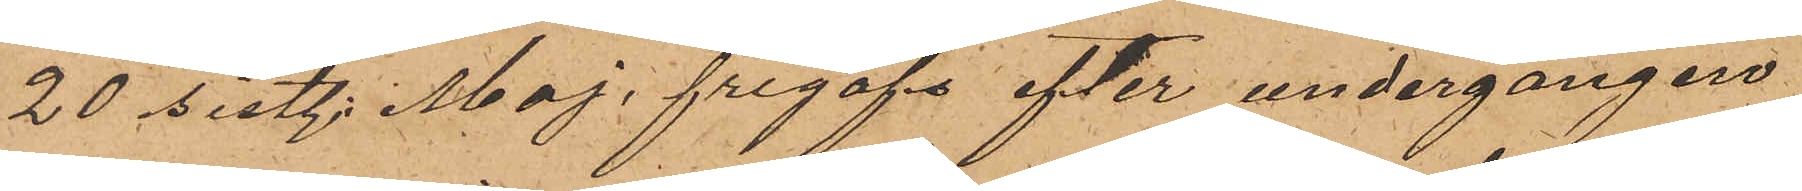20 sist. Maj frigafs efter undergången
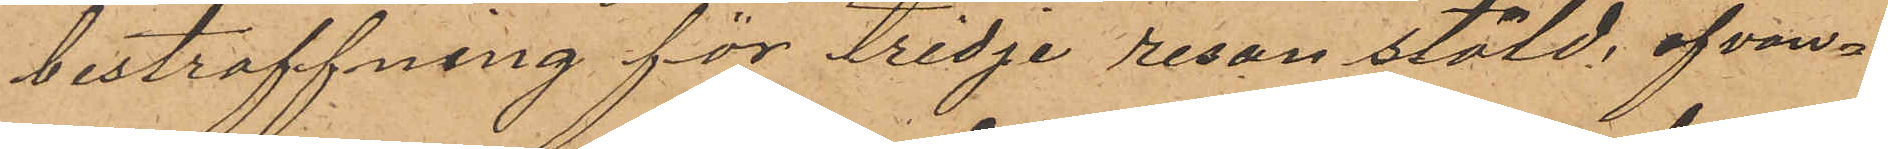bestraffning för tredje resan stöld, ofvan¬
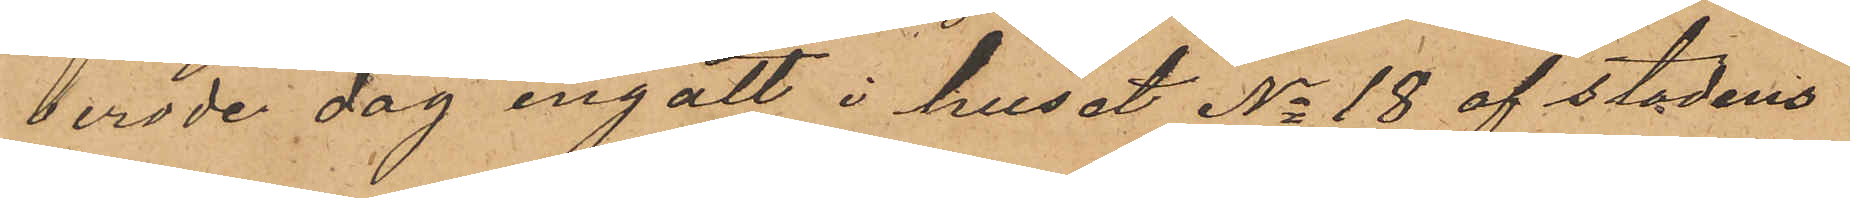berörde dag ingått i huset No 18 af stadens
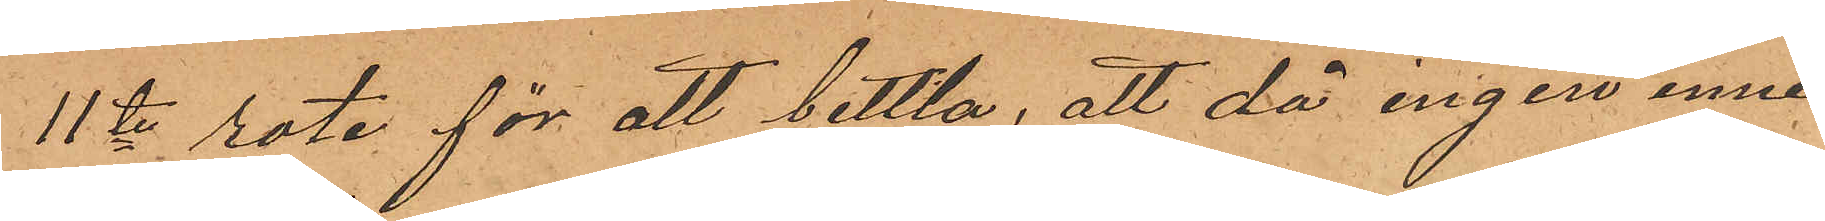11te rote för att bettla, att då ingen inne¬
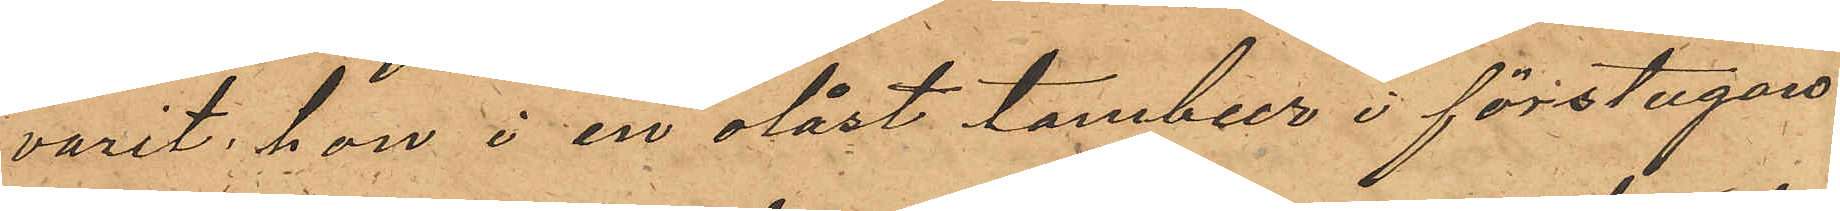varit, hon i en olåst tambur i förstugan
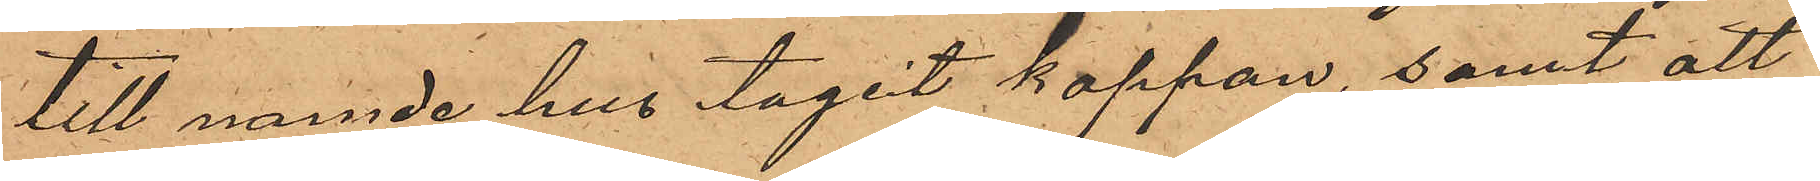till nämde hus tagit kappan, samt att
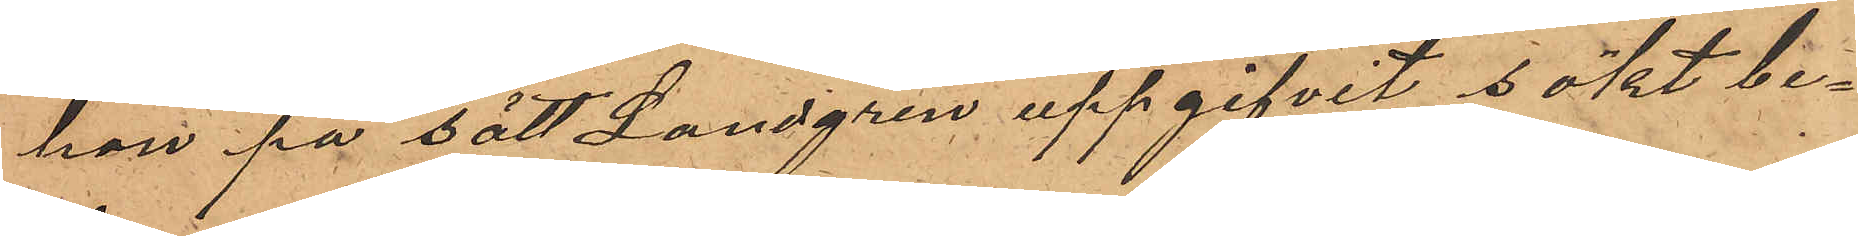hon på sätt Landgren uppgifvit sökt be¬
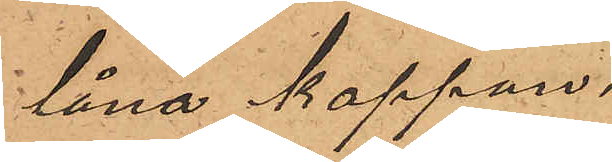låna kappan.
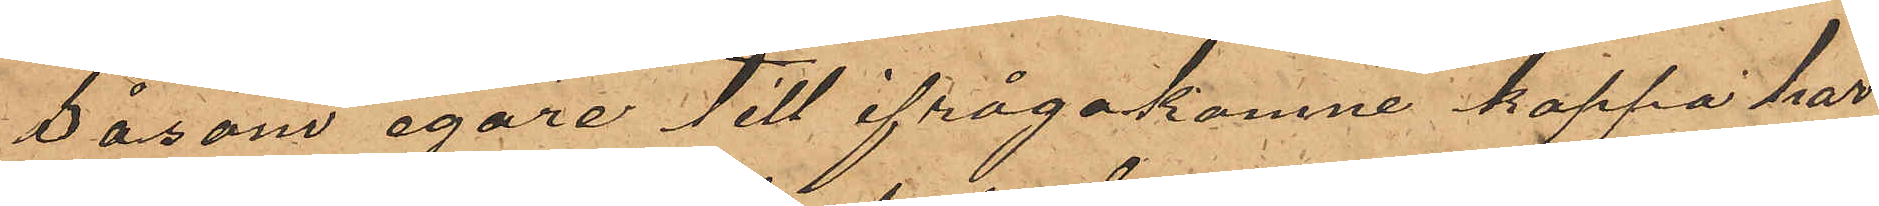Såsom egare till ifrågakomne kappa har
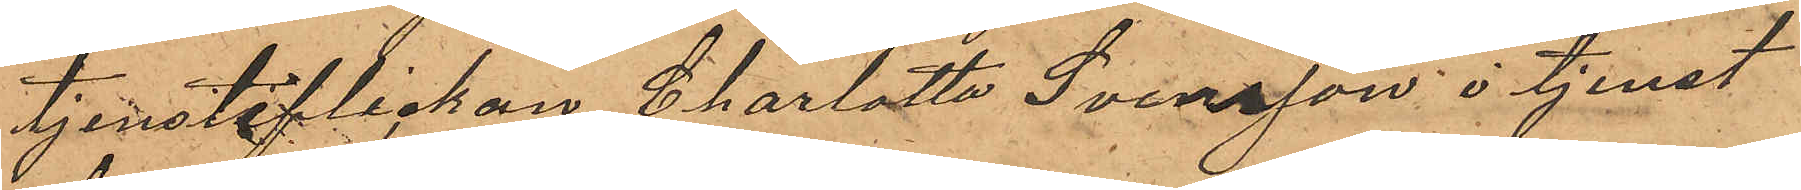tjensteflickan Charlotta Svensson i tjenst
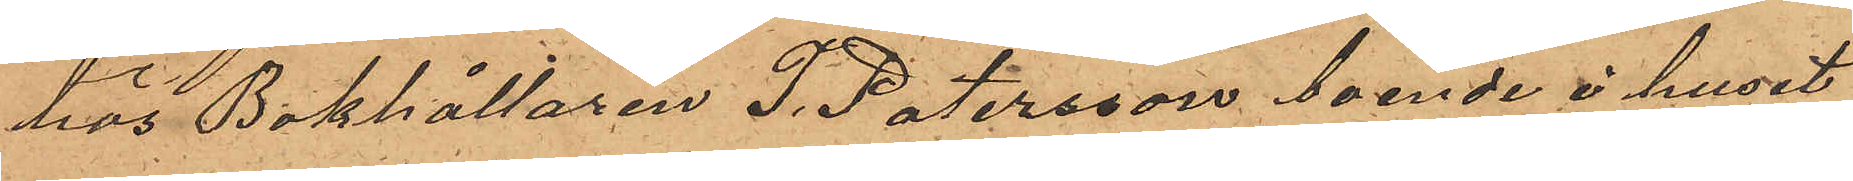hos Bokhållaren T. Petersson boende i huset
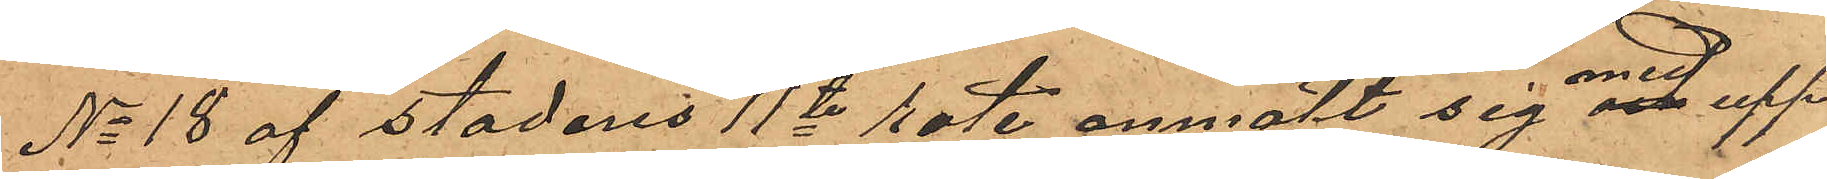No 18 af stadens 11te rote anmält sig med upp¬
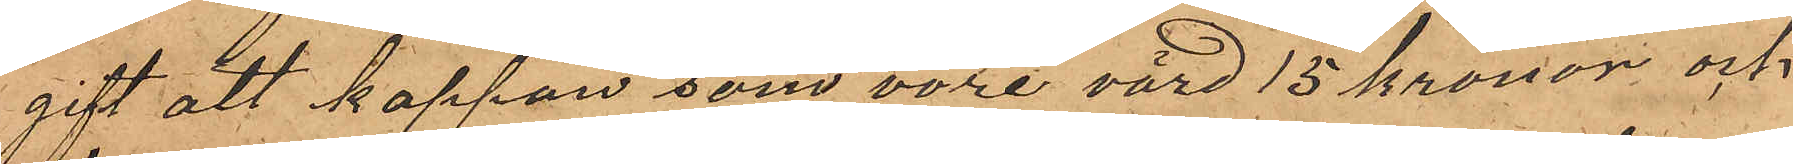gift att kappan som vore värd 15 Kronor och
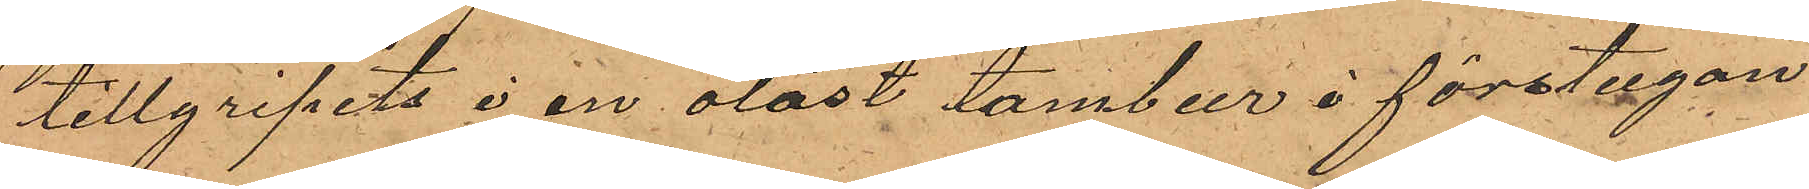tillgripits i en olåst tambur i förstugan
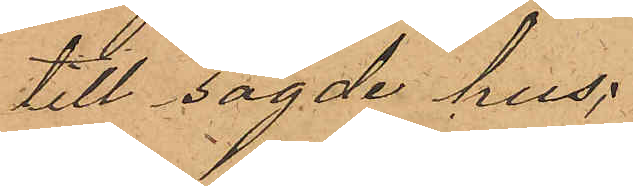till sagde hus;
